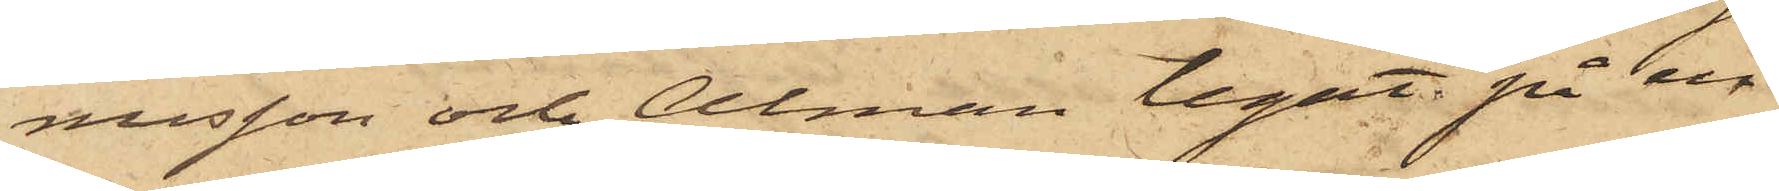nusson och Alman legat på en
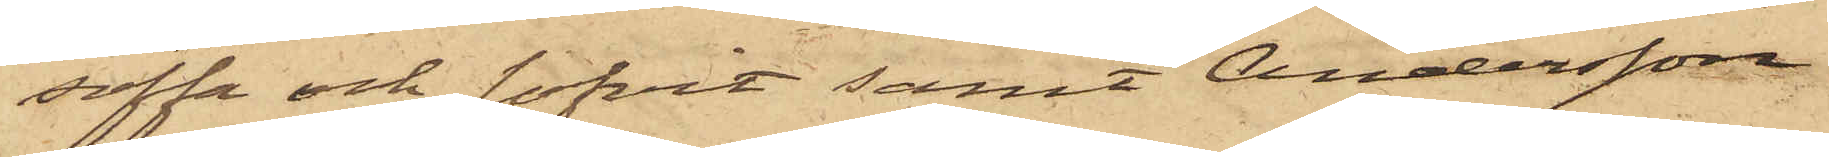soffa och sofvit samt Andersson
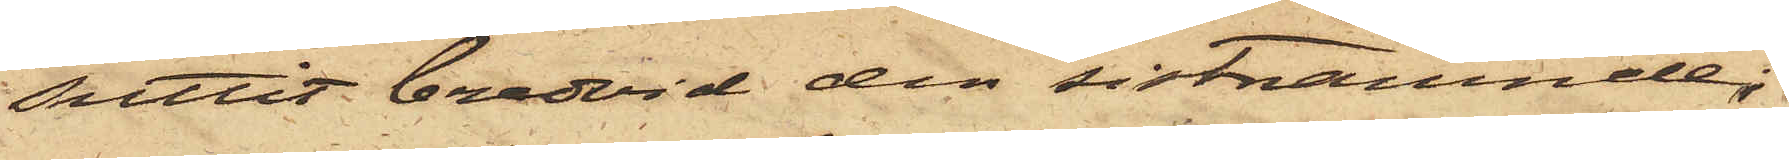suttit bredvid den sistnämnde;
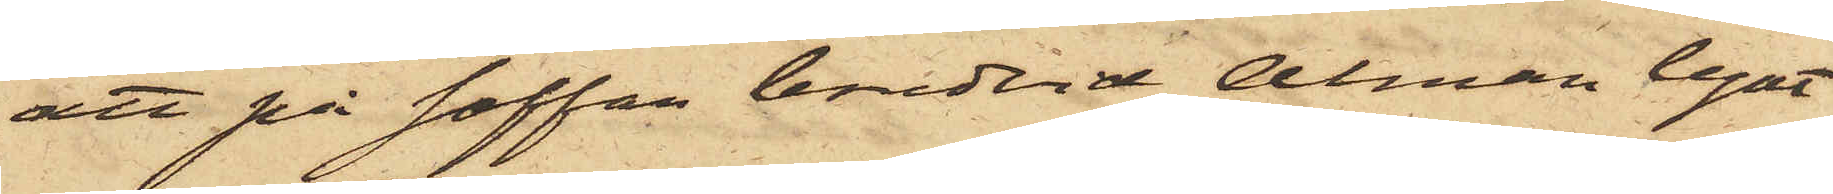att på soffan bredvid Alman legat
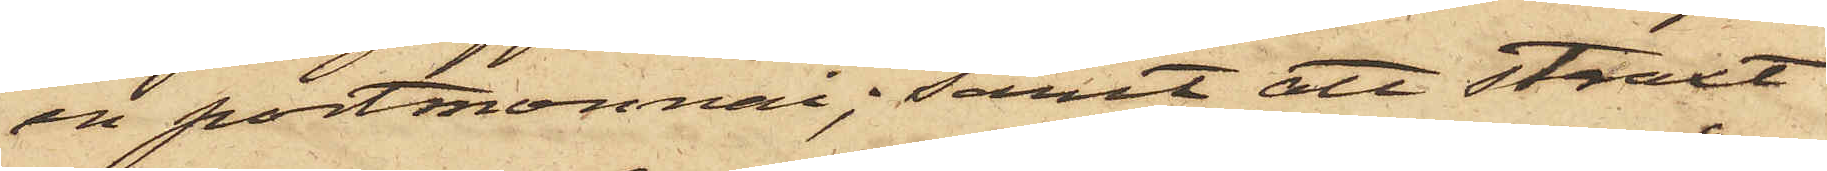en portmonnai; samt att straxt
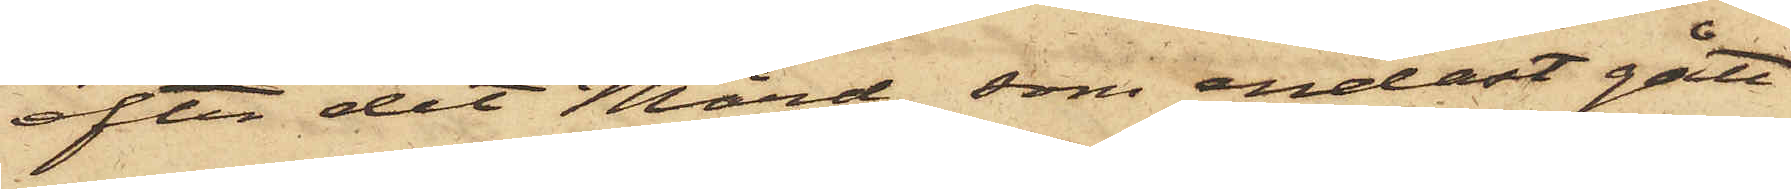efter det Mård, som endast gått
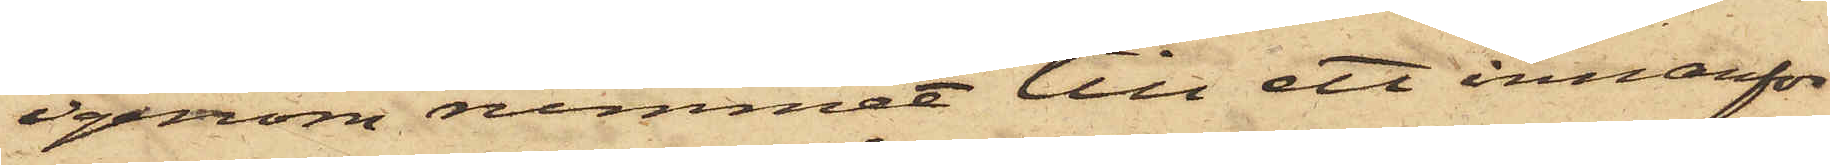igenom rummet till ett innanför
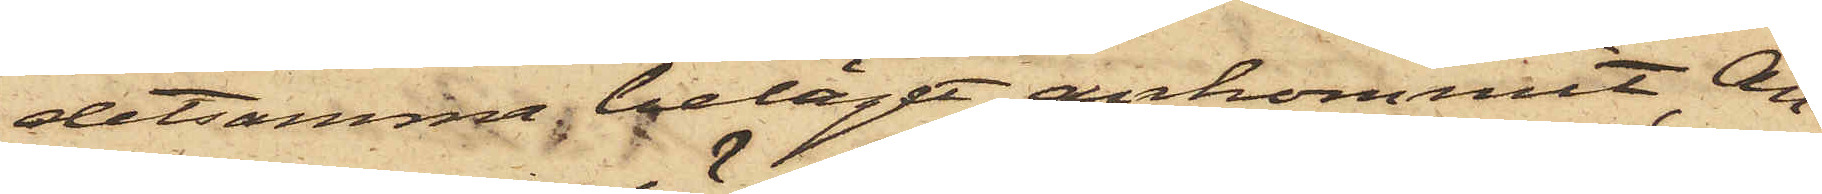detsamma beläget, ankommit, An¬
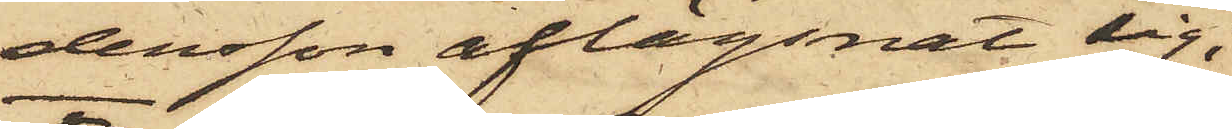dersson aflägsnat sig.
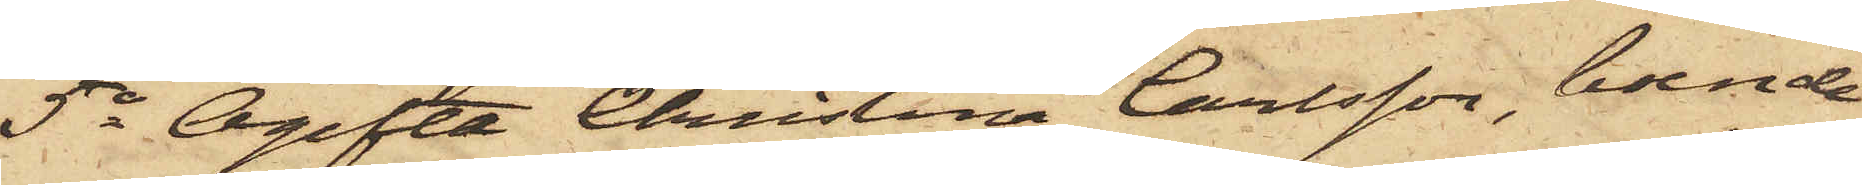5o Ogifta Christina Carlsson, boende
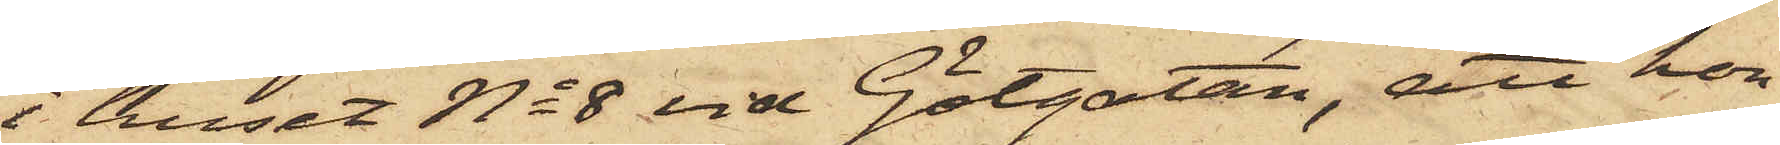i huset No 8 vid Götgatan, att hon
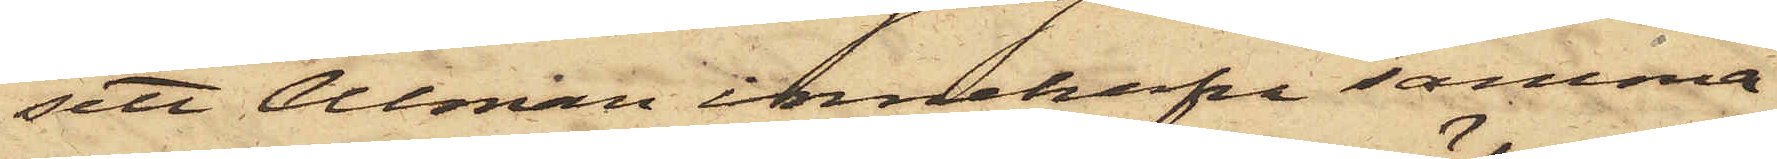sett Alman innehafva samma
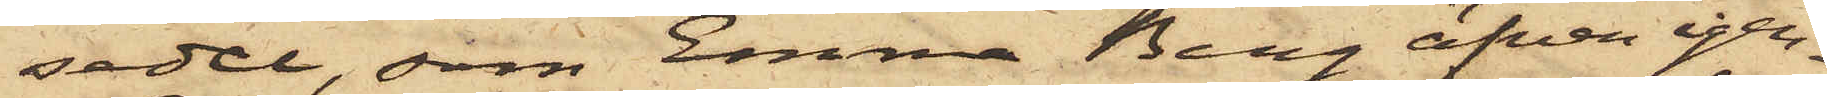sedel, som Emma Berg äfven igen¬
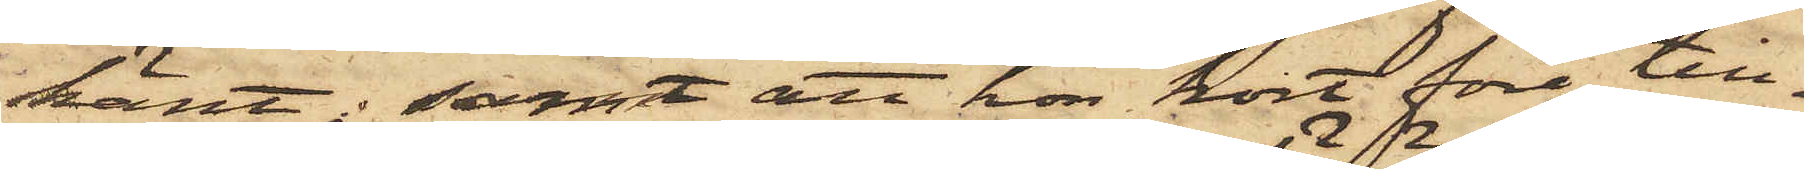känt; samt att hon kort före till¬
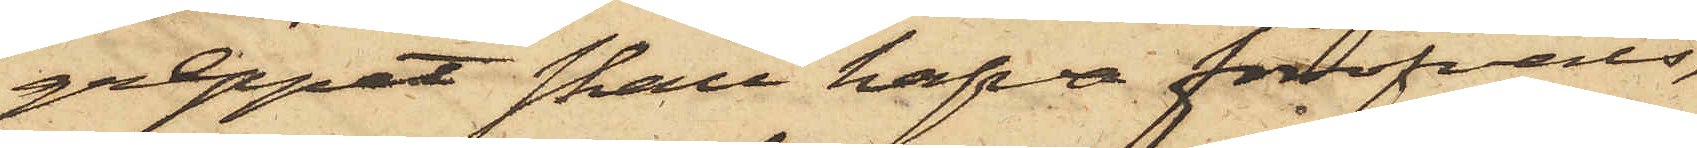greppet skall hafva föröfvats,
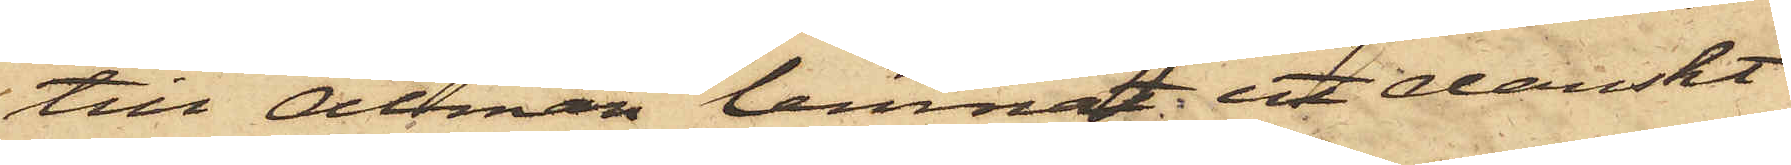till Alman lemnat ett danskt
